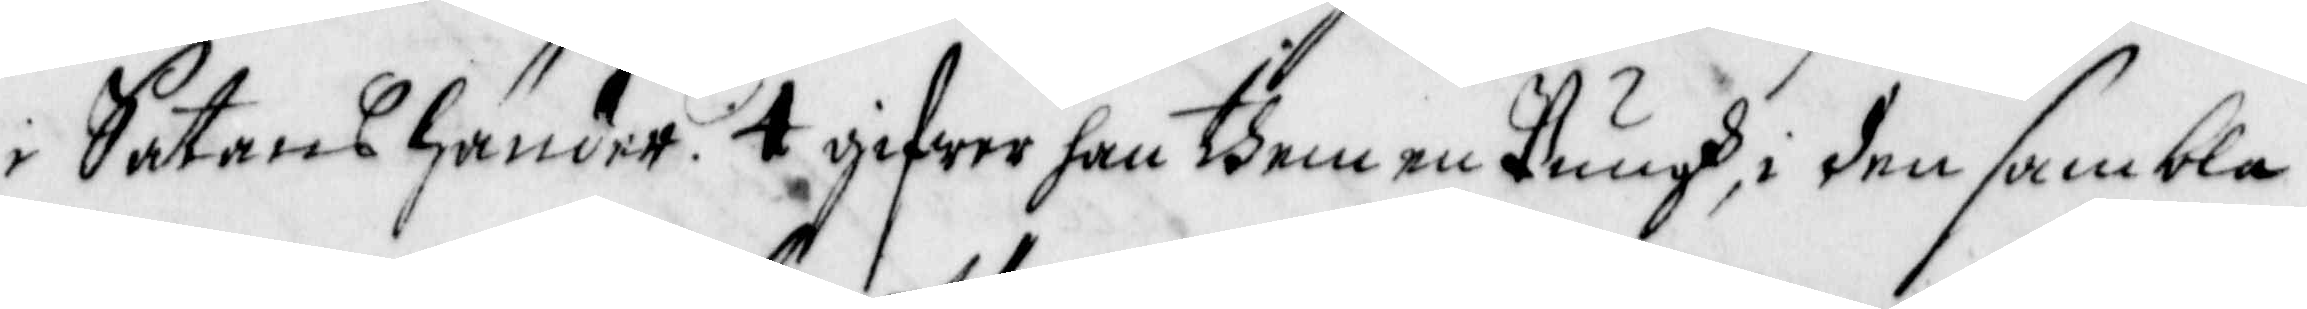i Satens händer. 4 gifwer han dhem en Pungh, i den sambla
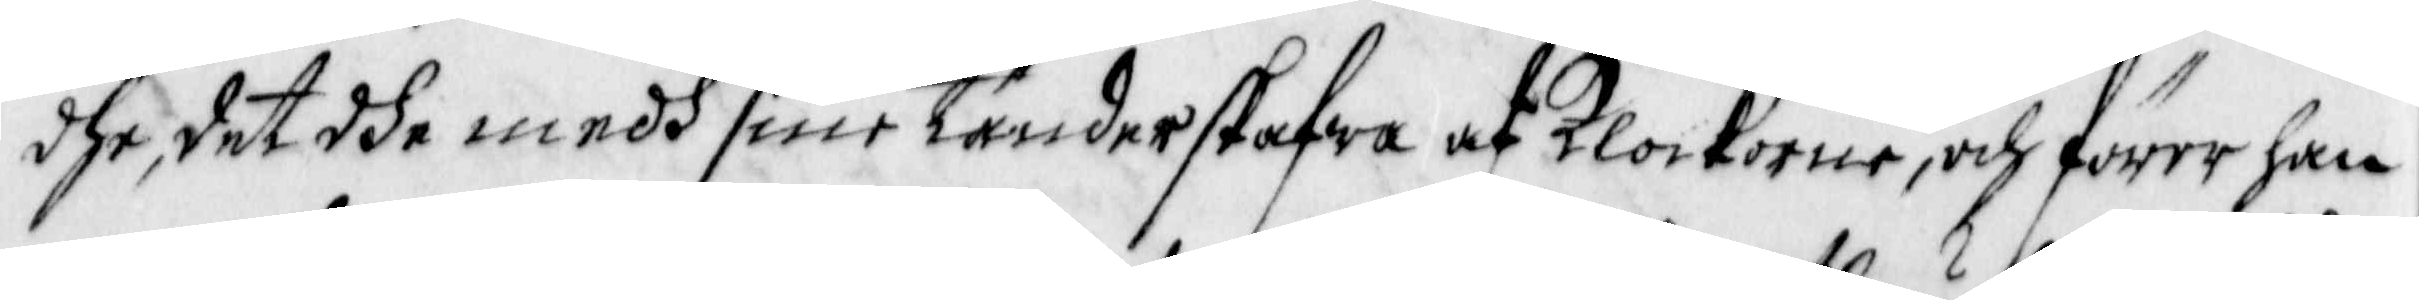dhe, det dhe medh sine tänder skafwa af Klockorne, och förer han
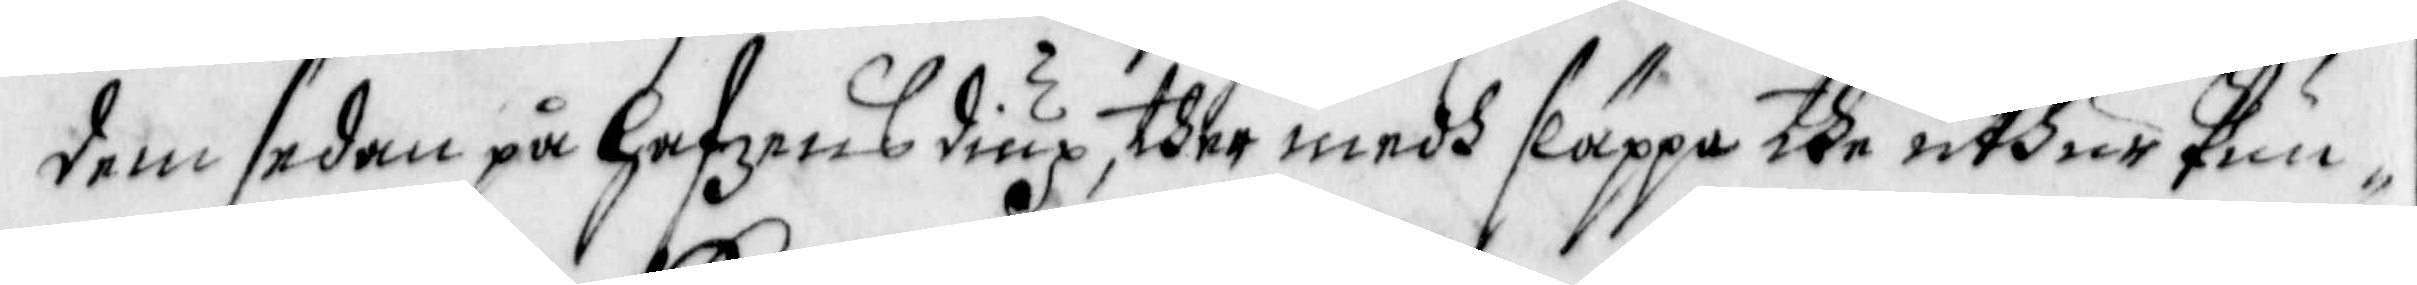dem sedan en hafzens diup, ther medh släppa the uthur Pun¬
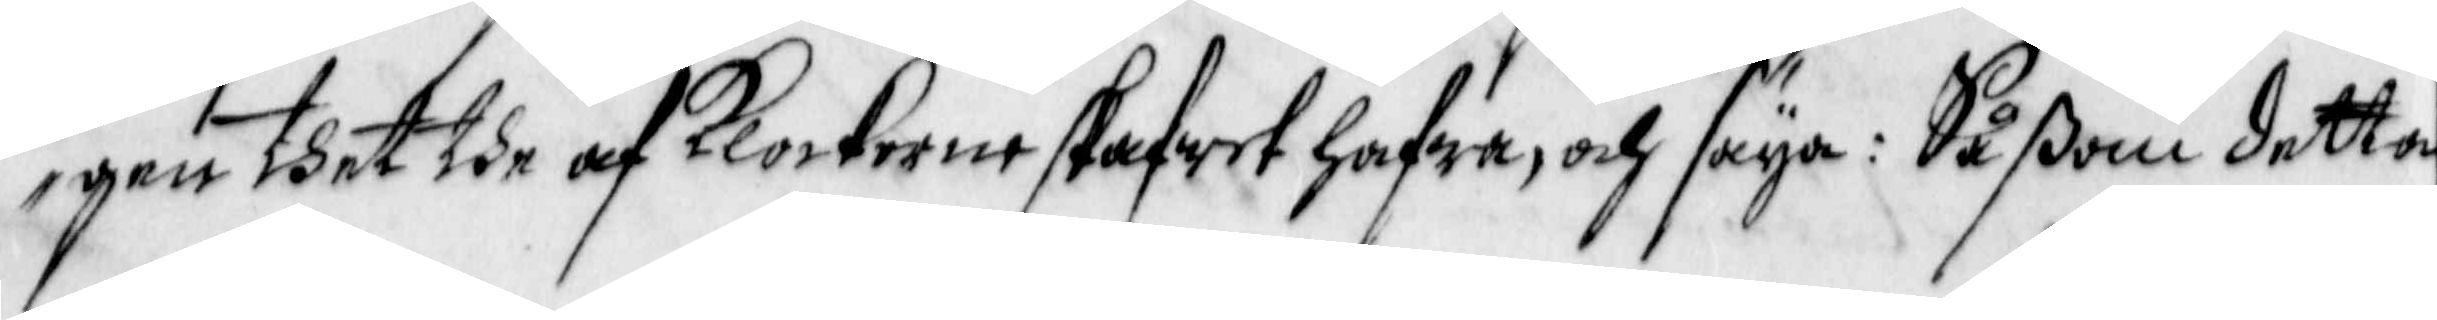gen thet dhe af Klockerne skafwet hafwa, och säya; Såßom detta
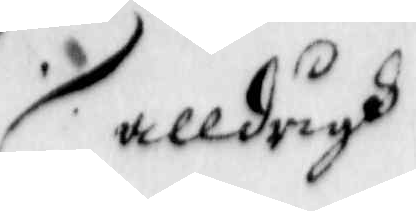alldrigh
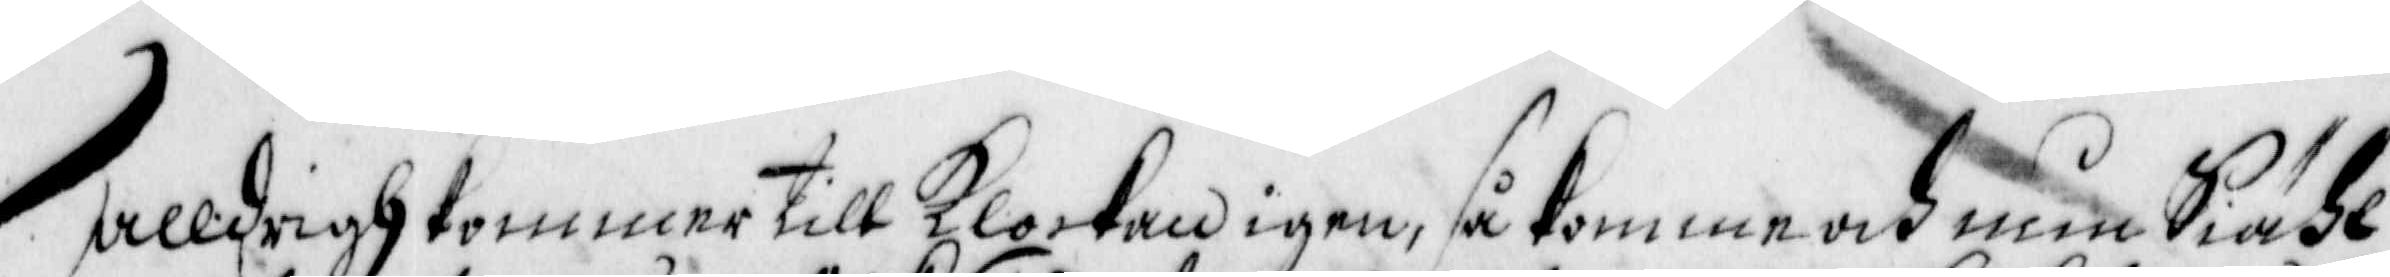Alldrigh Kommar till Klockan igen, så komme och min Siähl
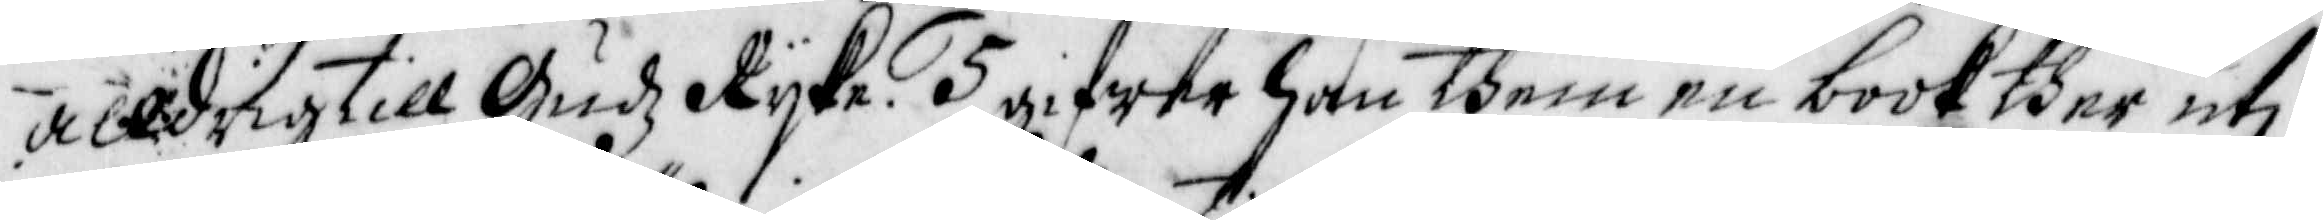Alldrig till Gudz Ryke. 5 gifwer han dhem en book ther uti
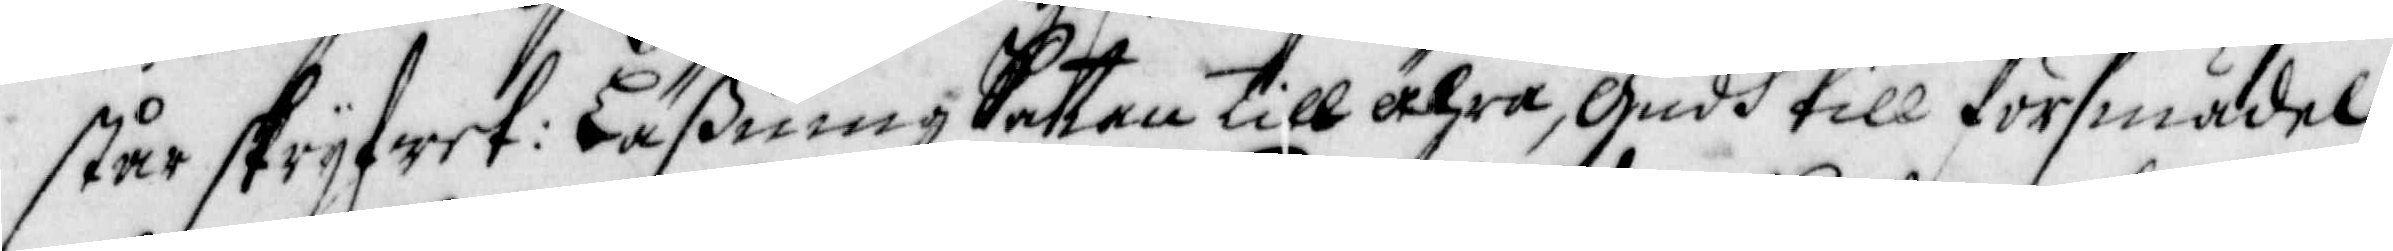står skryfwet: Läßning Sattan till ähra, Gudh till försmädel¬
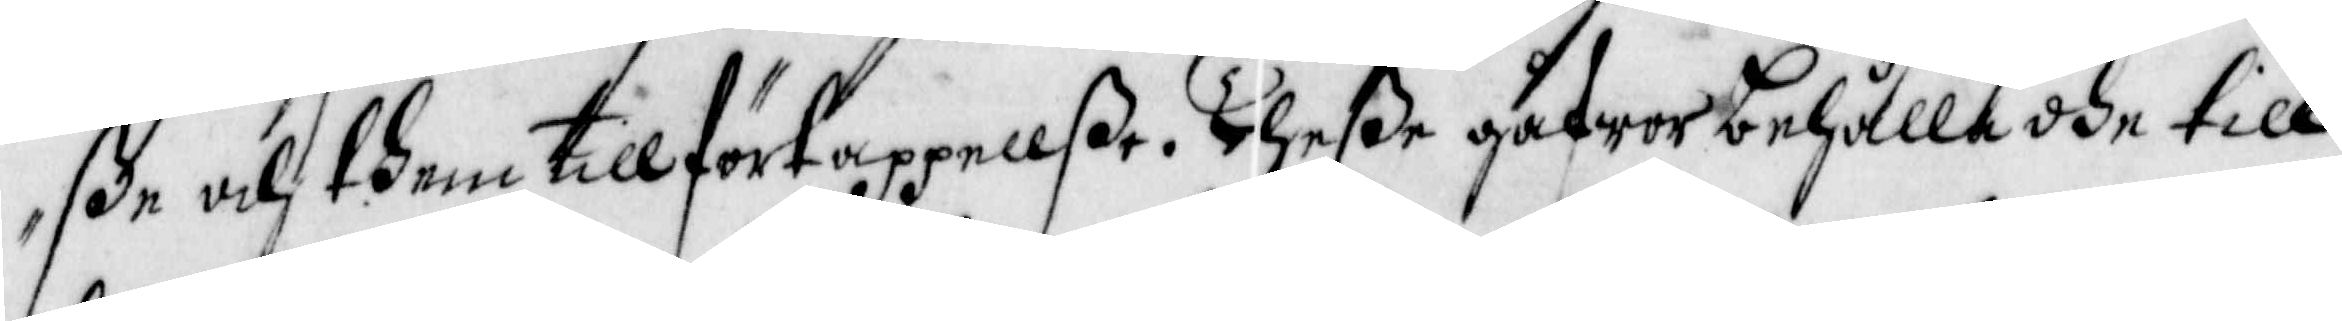ße och dhem tillförtappellße. Theße gåfwer behålla dhe till
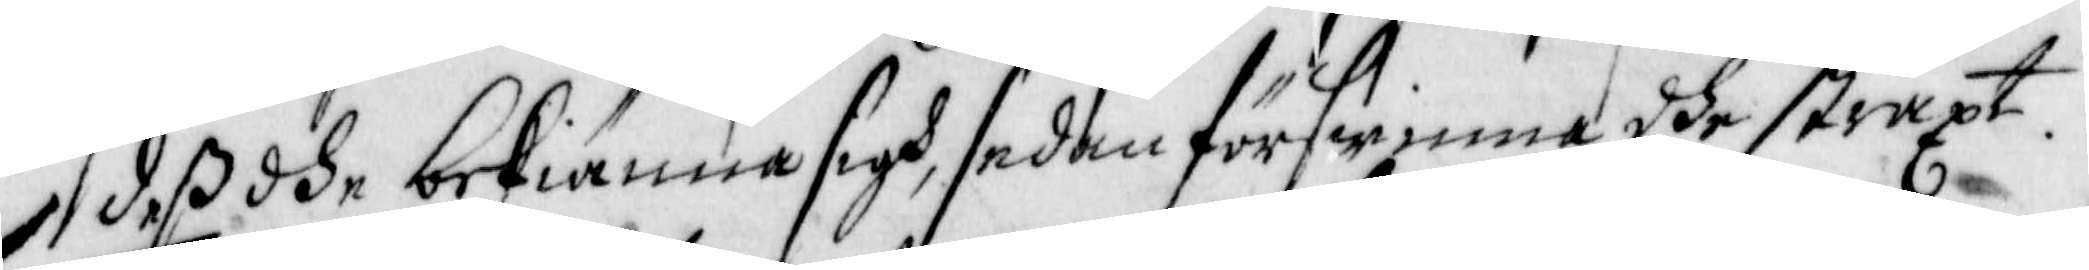des dhe bekiänna sigh, sedan förswinna dhe straxt.
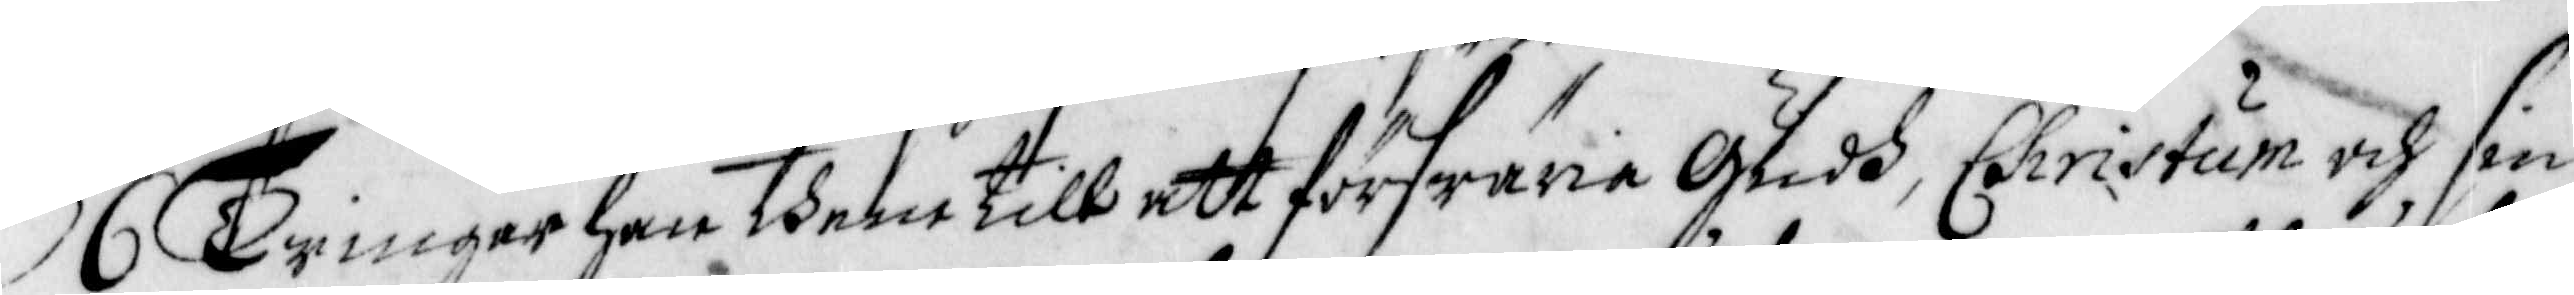6 Twingar ham them till att förswäria Gudh, Christum och sin
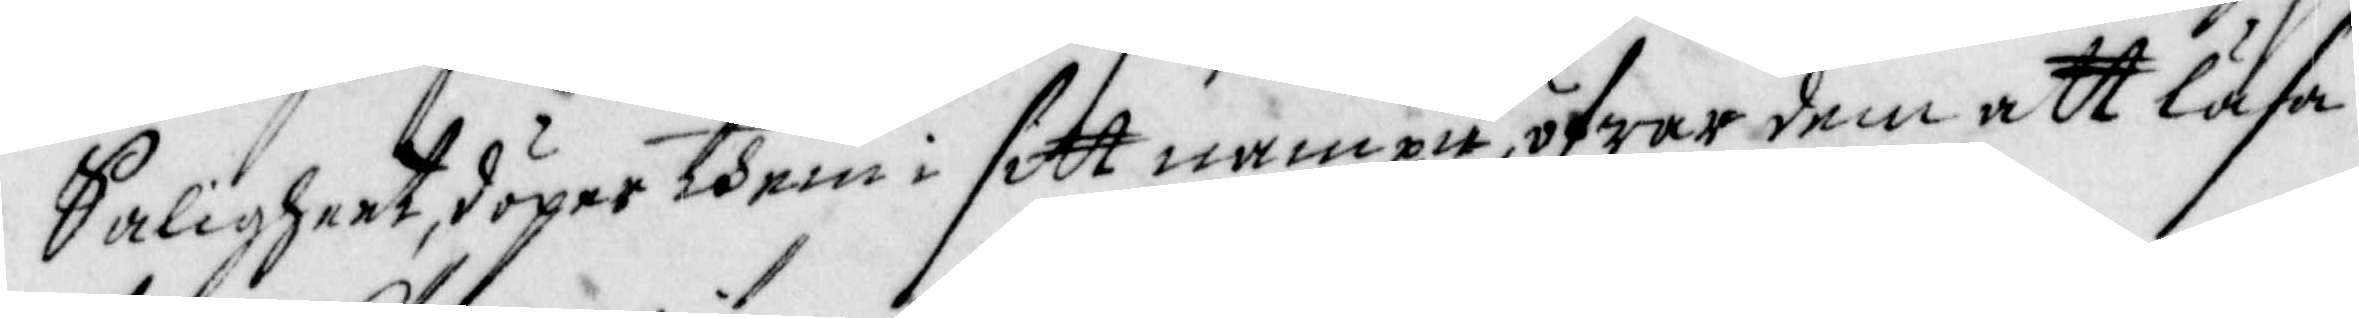Saligheet, döper them i sitt nampn, öfwar dem att läsa
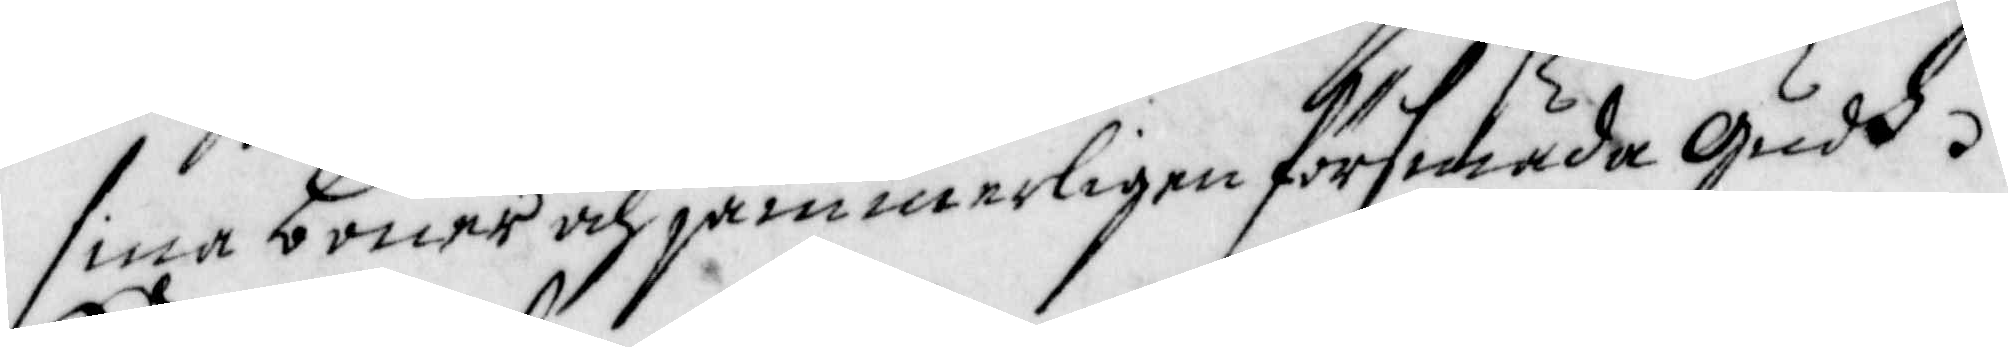sina böner och jämmerligen försmäda Gudh.
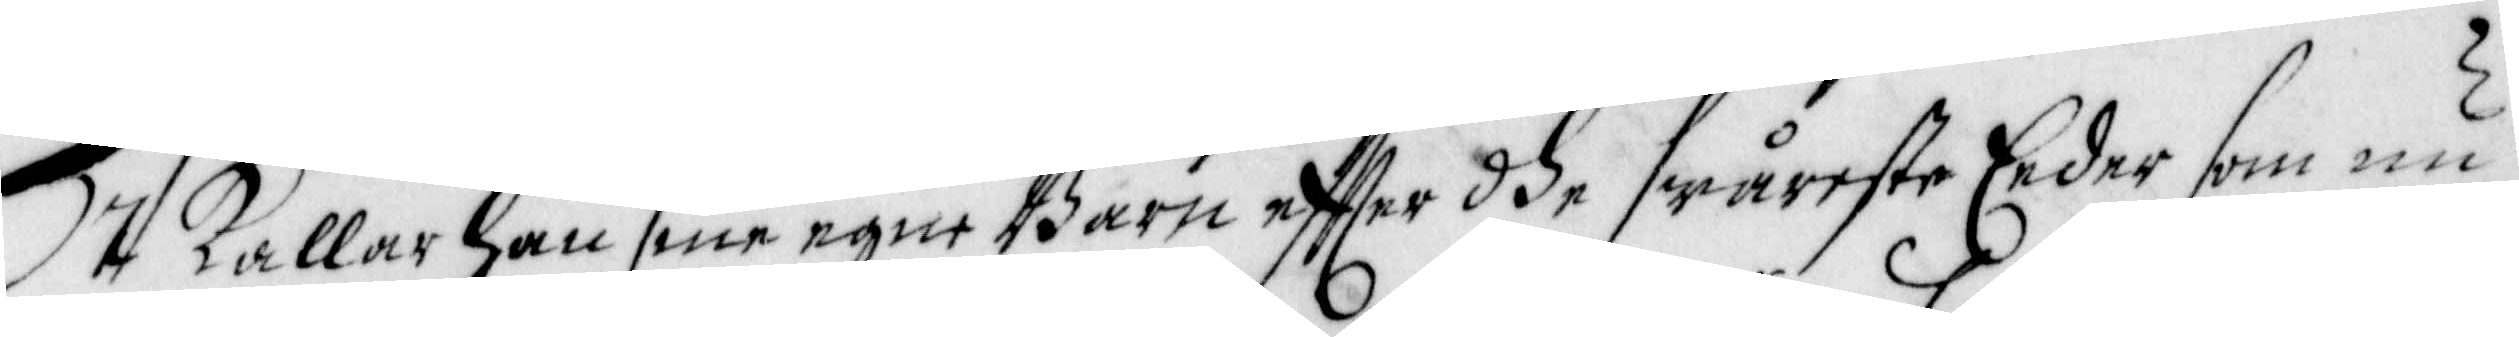7 Kallar han sine egne Barn effter dhe swåreste Eeder som nu
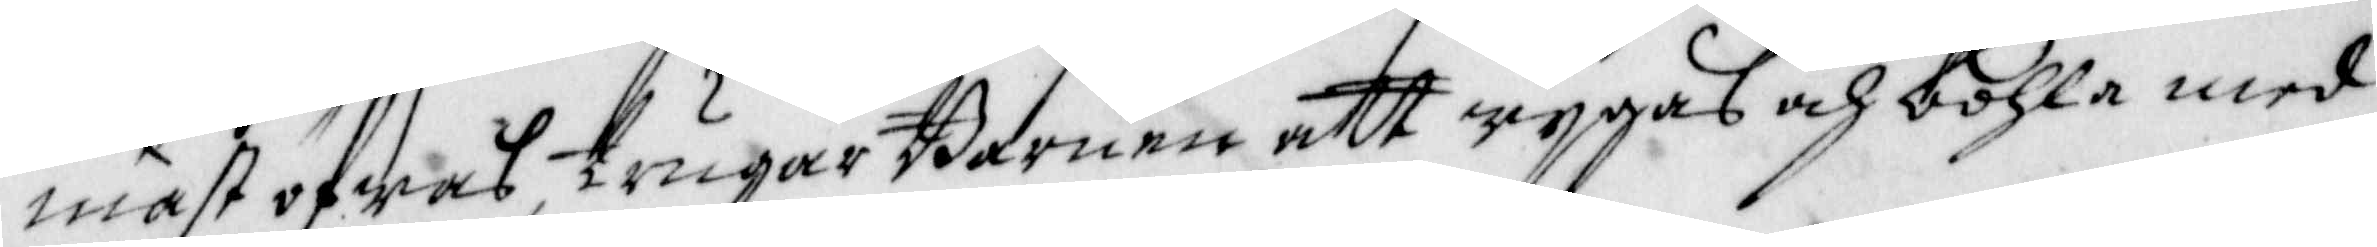mäst öwas, trugar Barnen att wygas och bohla med
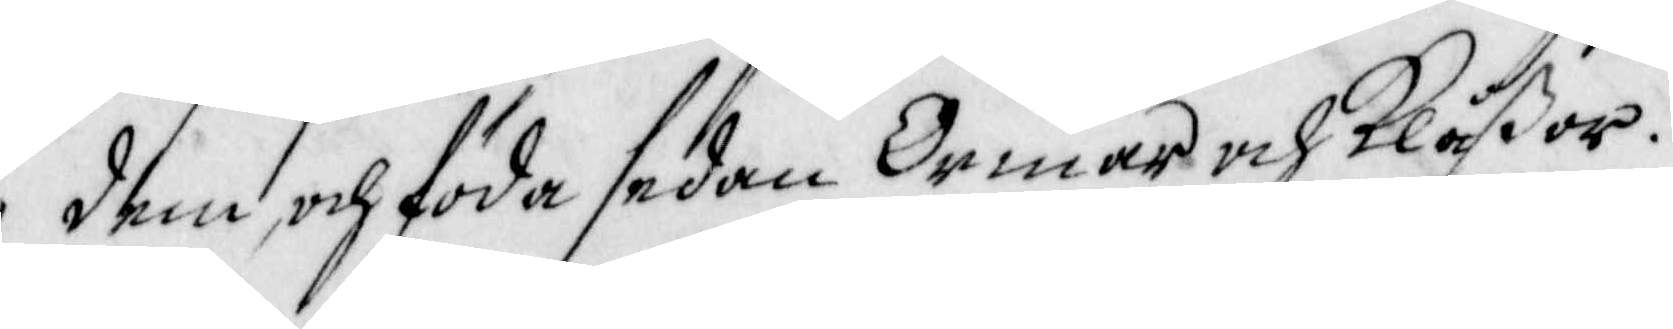dem, och föda sådan Ormar och Klåßor.
